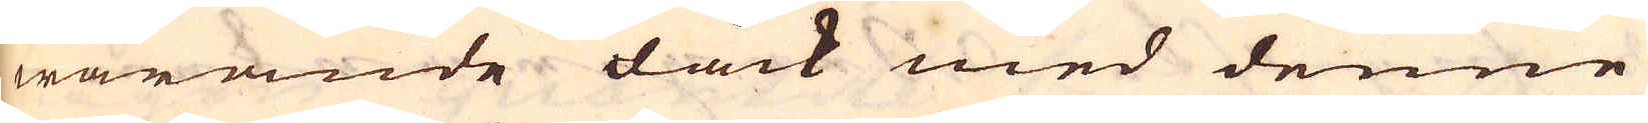warande dock med denne
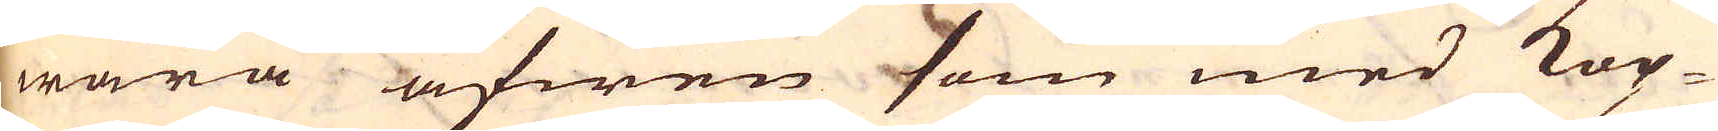wara äfwen som med Kop-
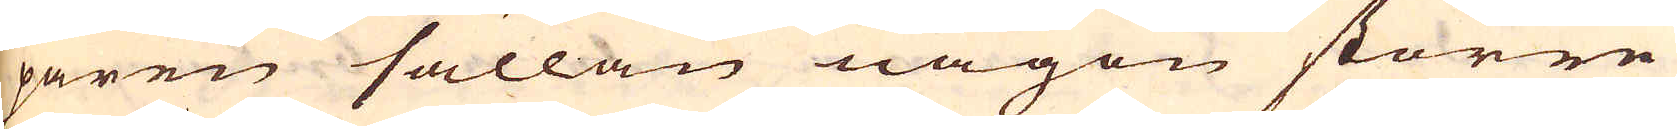paren sällan någon större
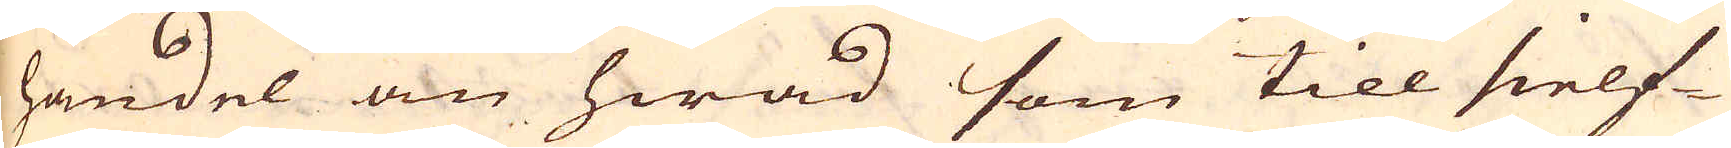handel än hwad som till sielf-
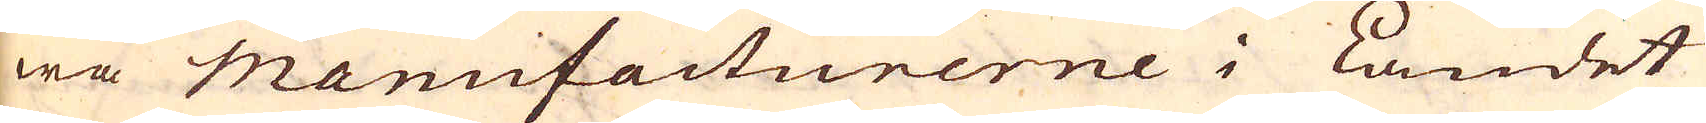wa Manufacturerne i Landet
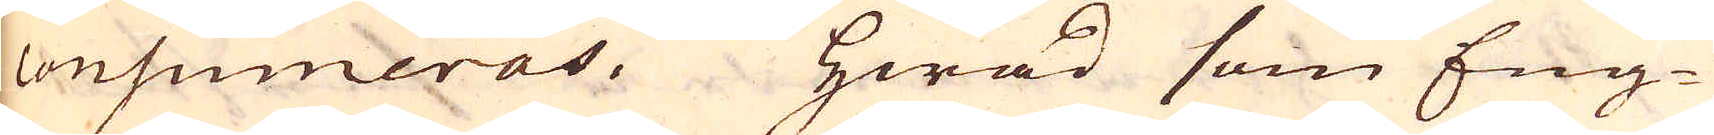consumeras. Hwad som Eng-
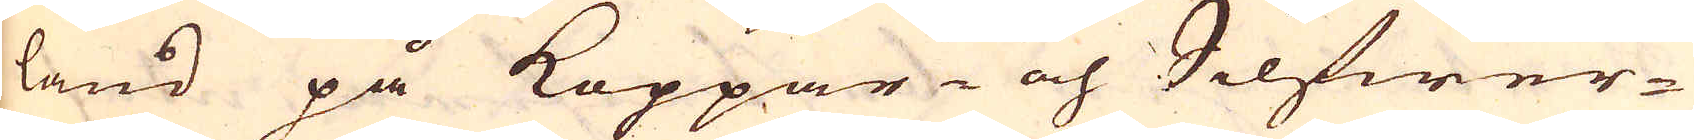land på Koppar- och Silfwer-
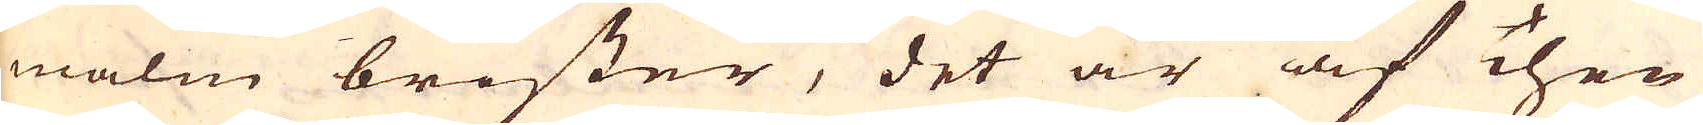malm brister, det är af Then
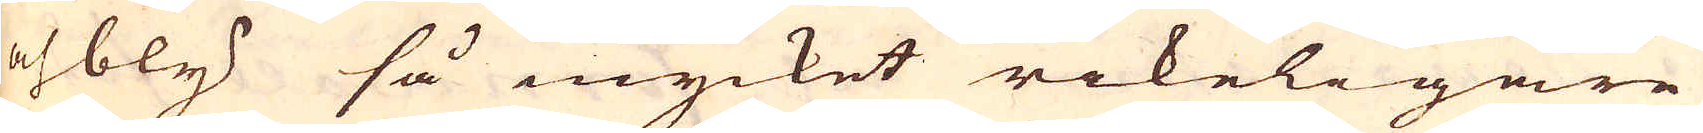och bly så mycket rikeligare
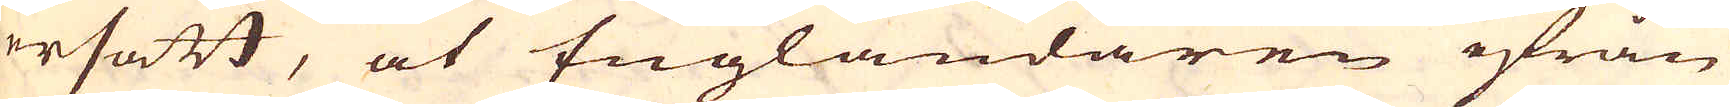ersatt, at Engländaren ifrån
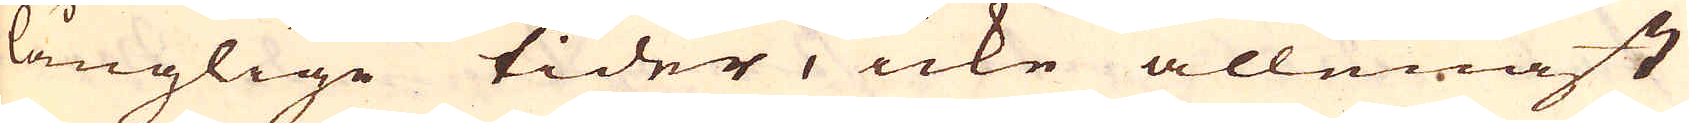långlige tider, icke allenast
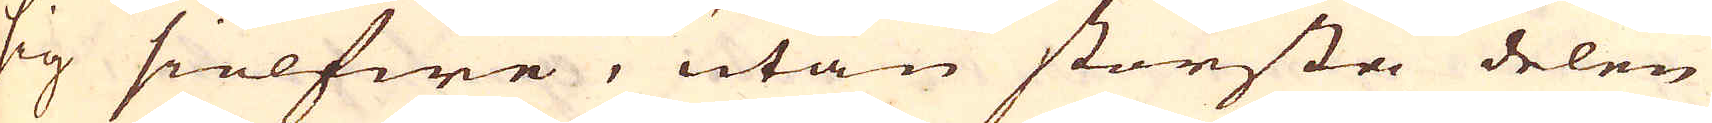sig sielfwe, utan största delen
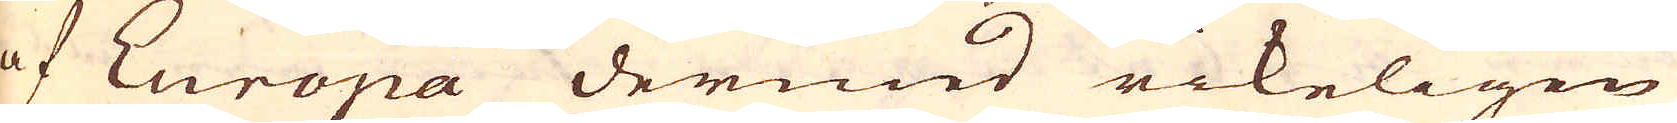af Europa dermed rikeligen
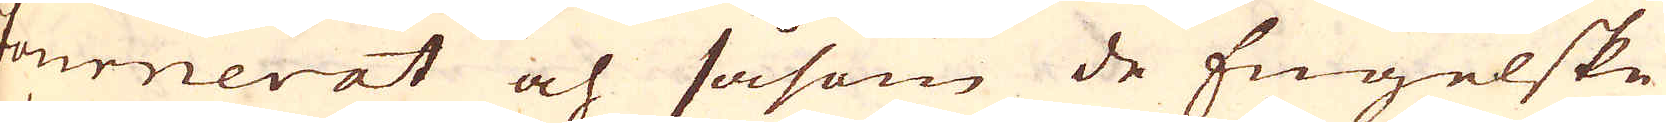fournerat och såsom de Engelske
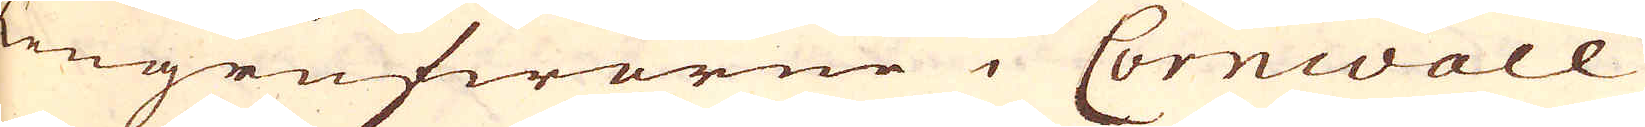Tengrufworne i Cornwall
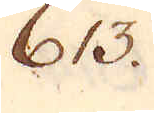613.
